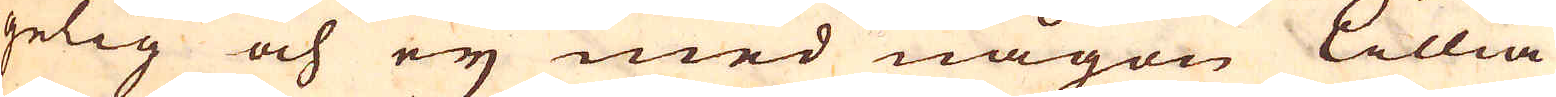gelig och ey med någon Lillia
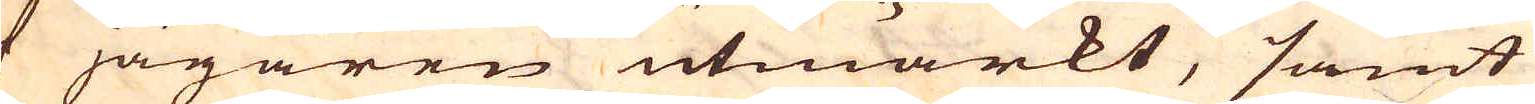af jägaren utmärkt, samt
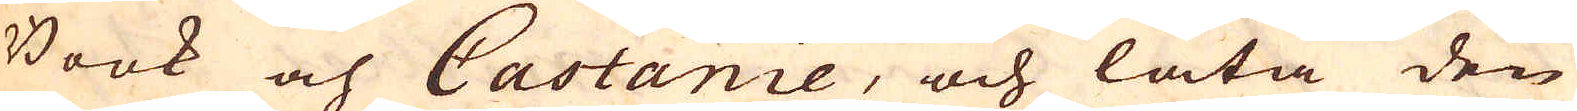Book och Castanie, och låta den
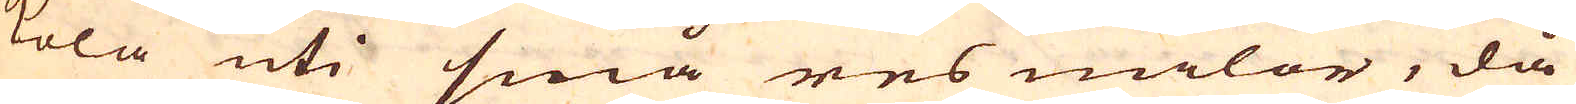kola uti små res milor, då
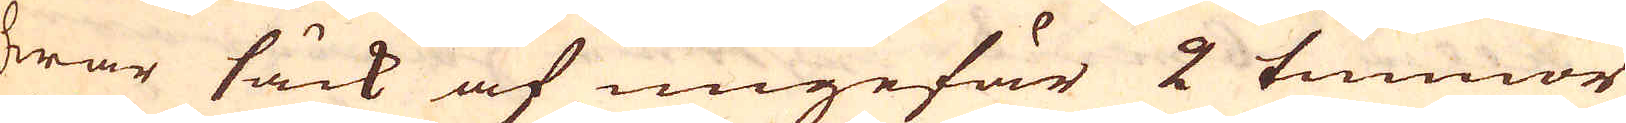hwar säck af ungefär 2 tunnor
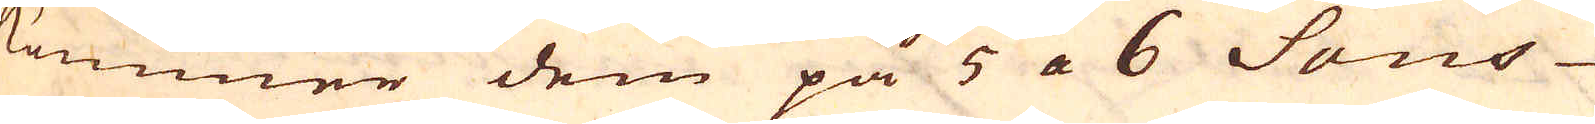kommer dem på 5 a 6 Sous
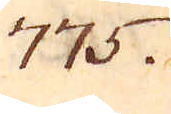775.
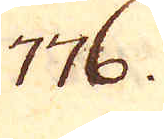776.
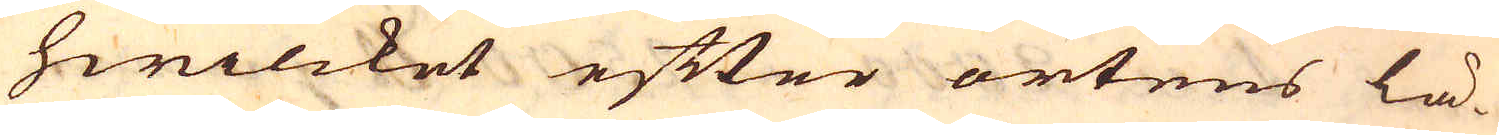hwilcket efter ortens lä-
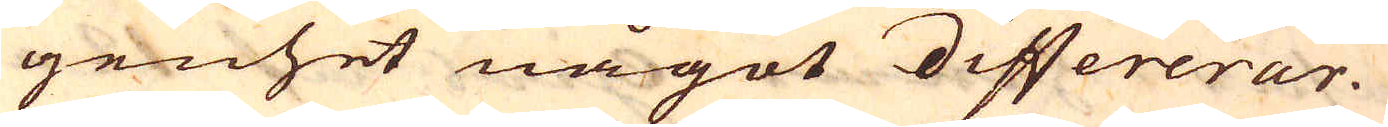genhet något differerar.
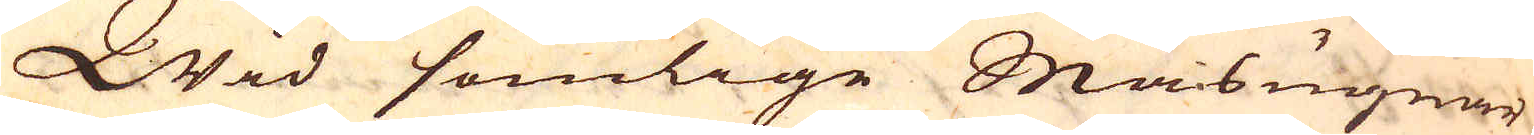Wid somlige Masugnar
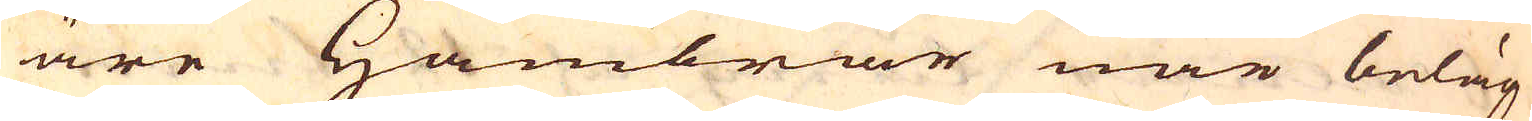äre Hambrar när beläg-
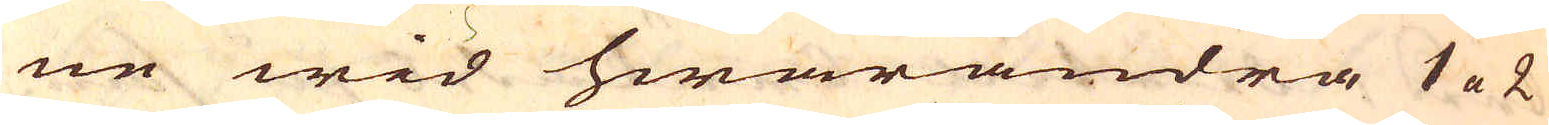ne wid hwarandra 1 a 2
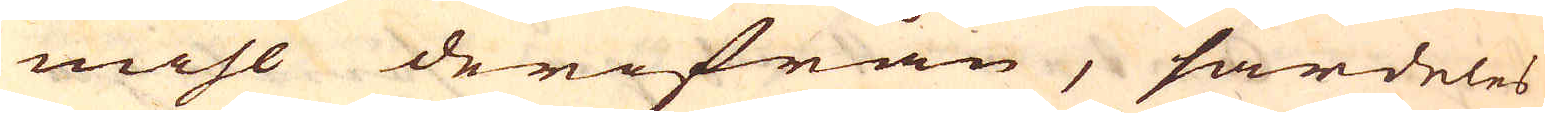mihl derifrån, särdeles
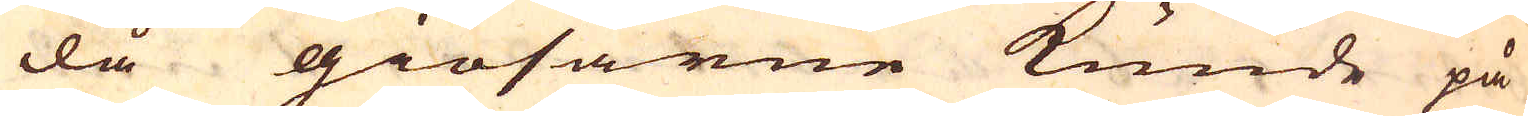då giösarne kunde på
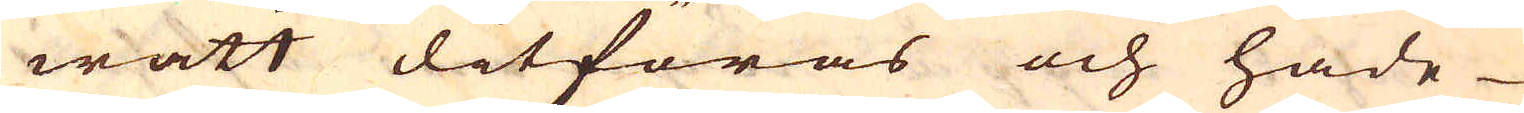watt ditföras och hade
